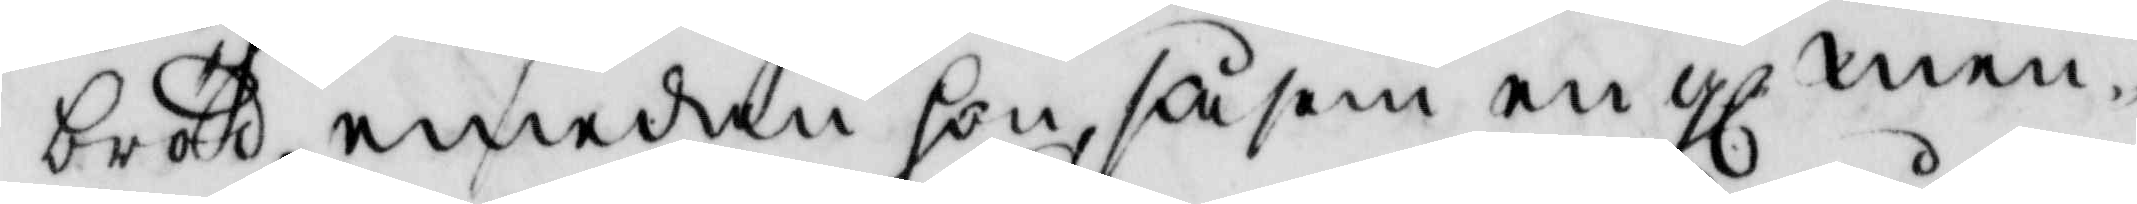bröd, emedan hon såsom en gl men¬
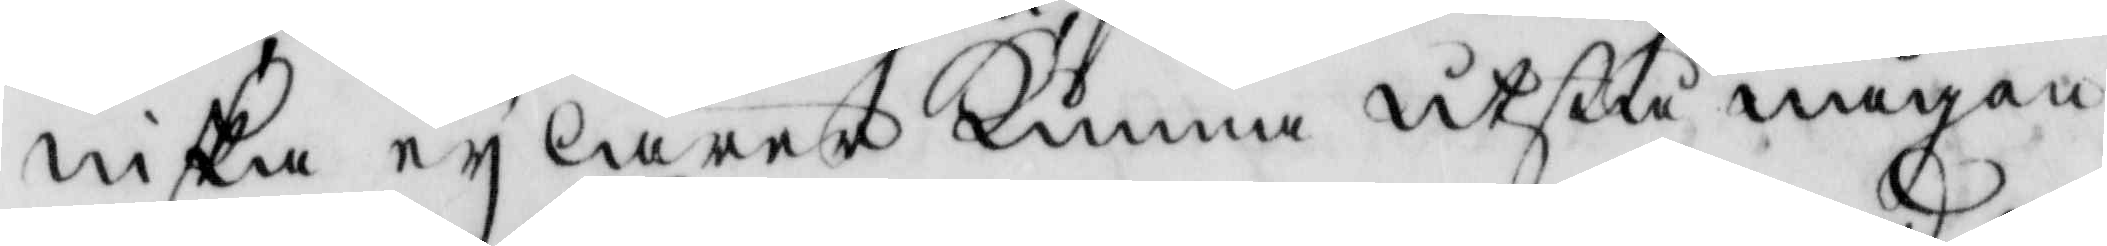niska ey lärer kunna utstå någon
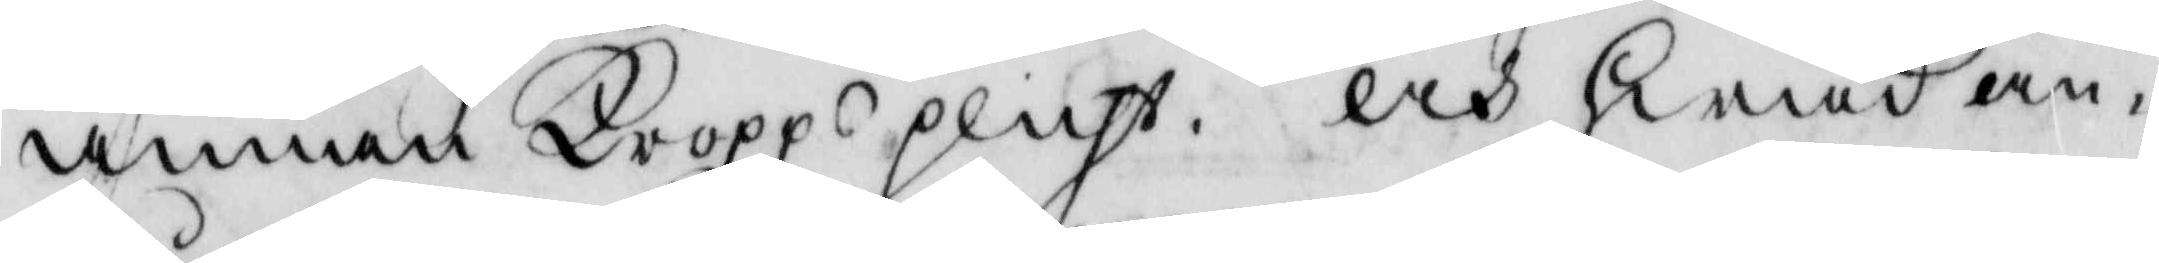annan kroppsplicht. och hwad an¬
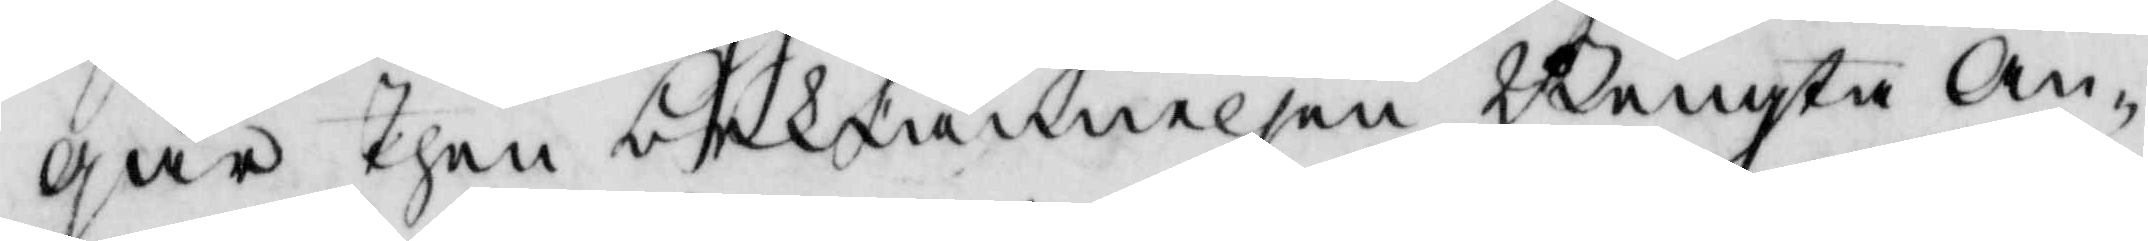går Then bekiännelsen Bengta An¬
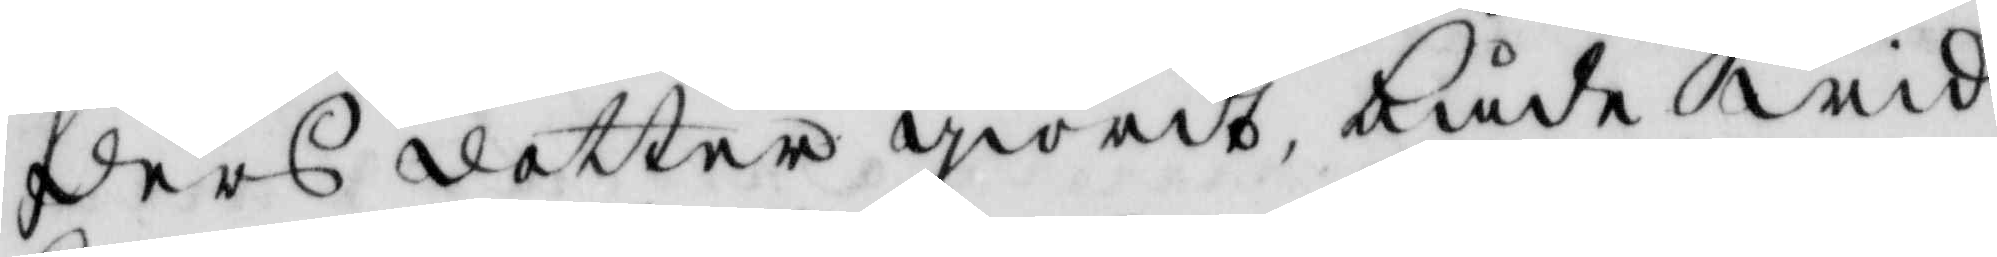ders dotter giordt både wid
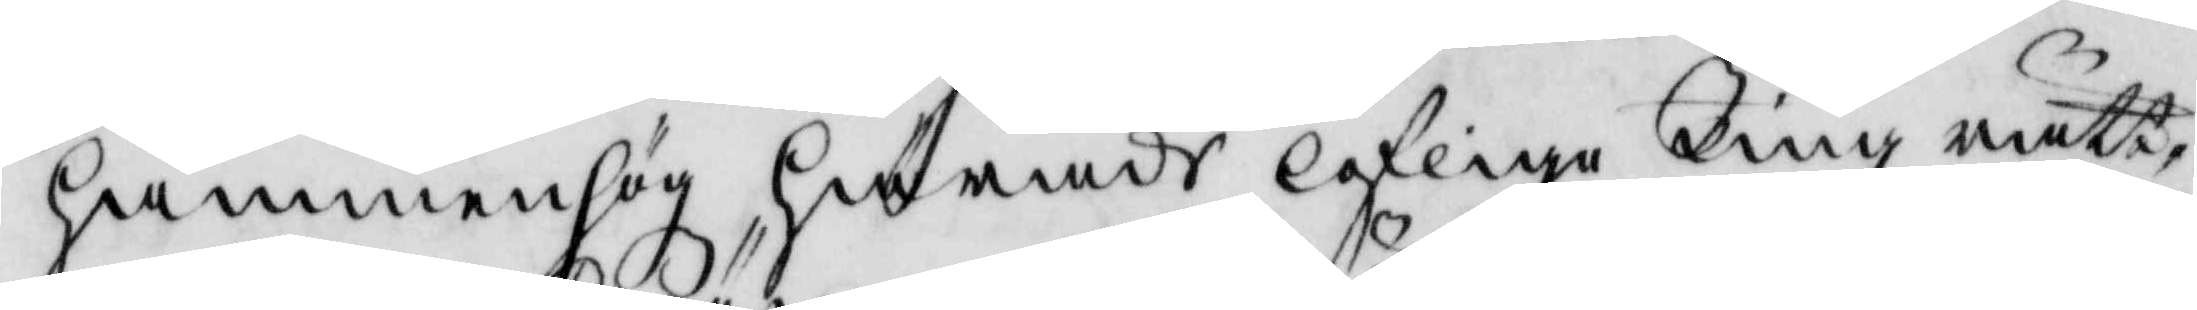Hammenhög Härads lofliga Tingz rätt,
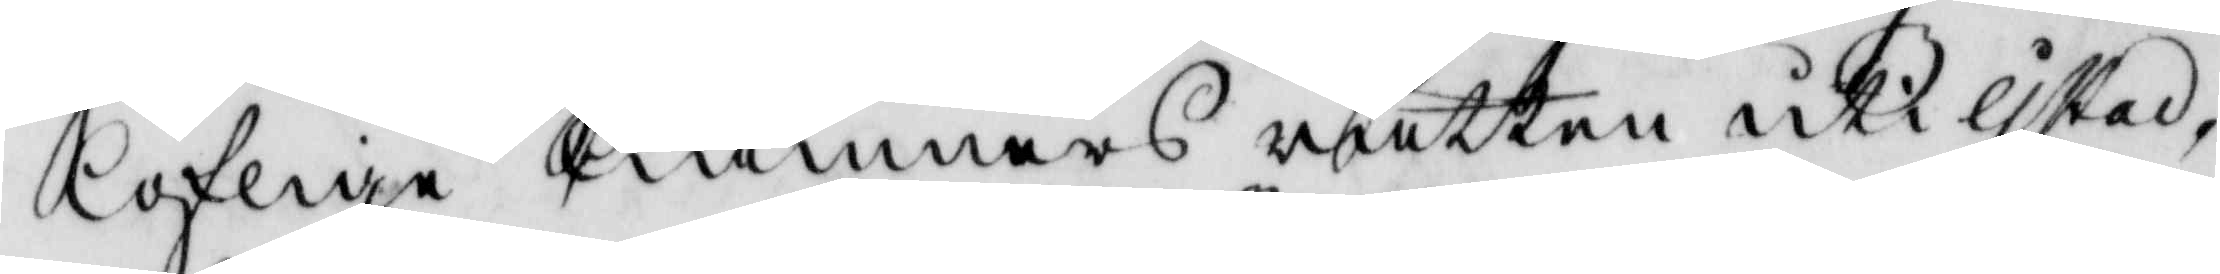lofliga Kiämners rätten uti Ystad,
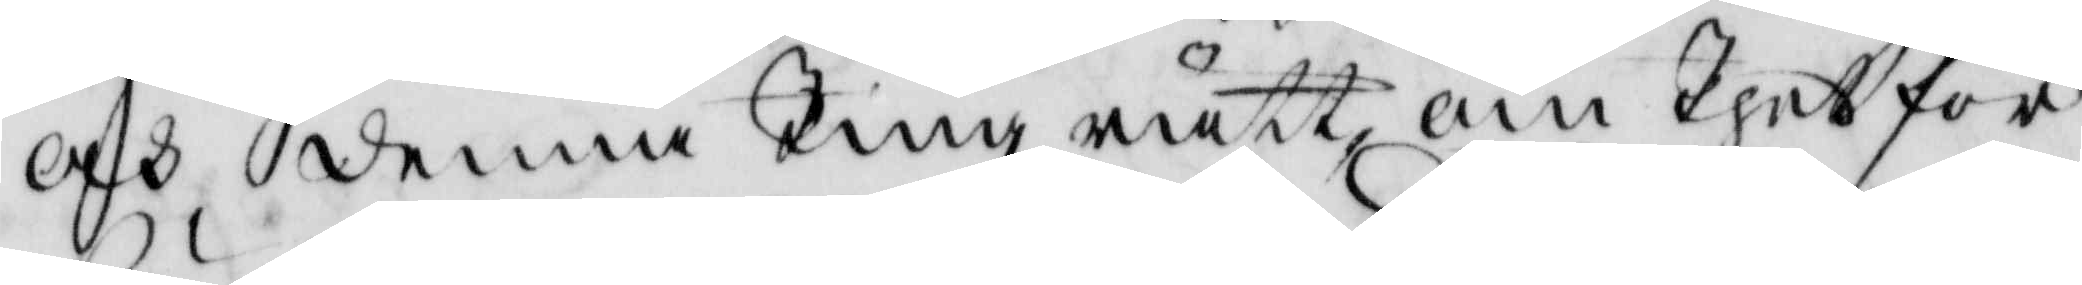och denna Tingz rätt om Thet för¬
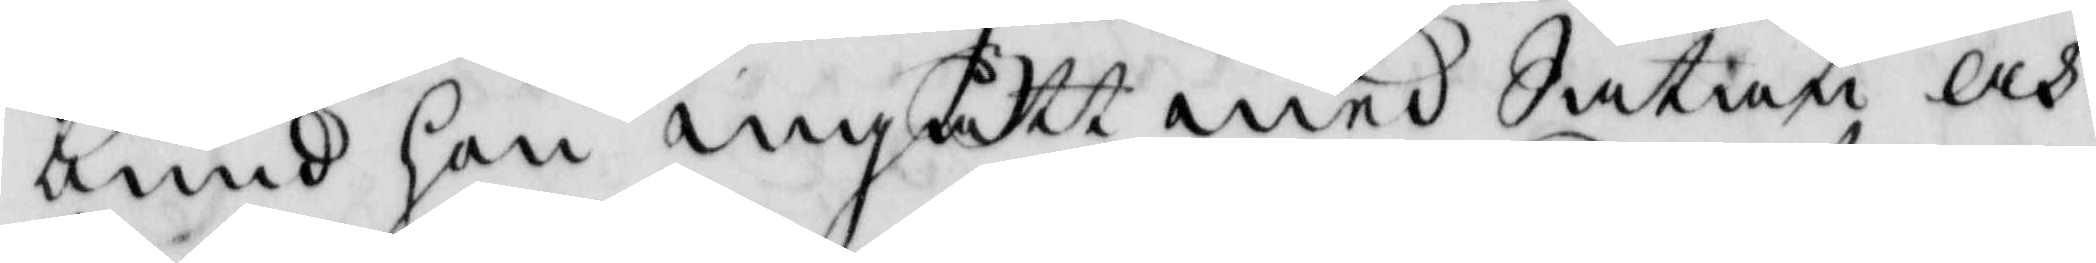bund hon ingått med Satan, och
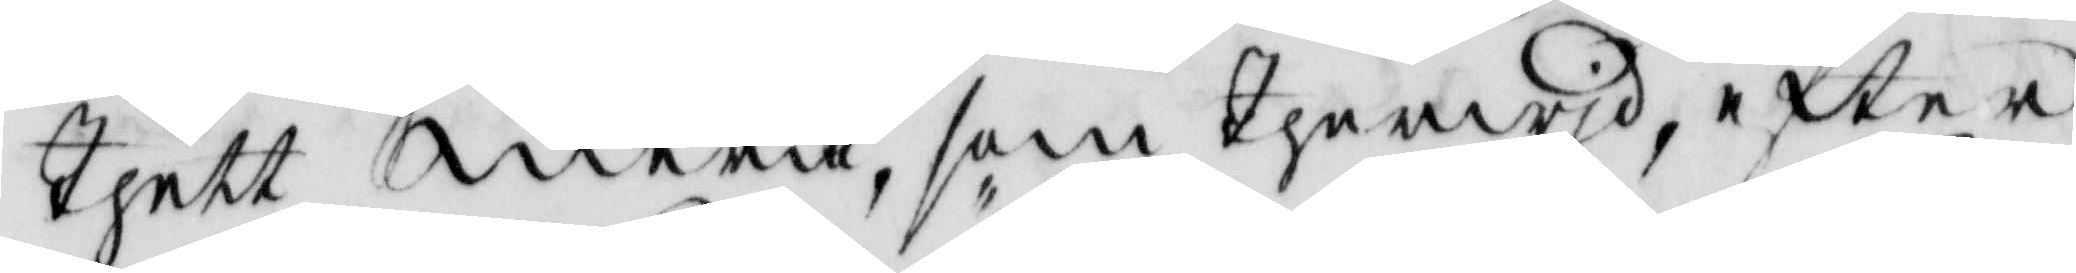Thett mera, som Therwid, efter
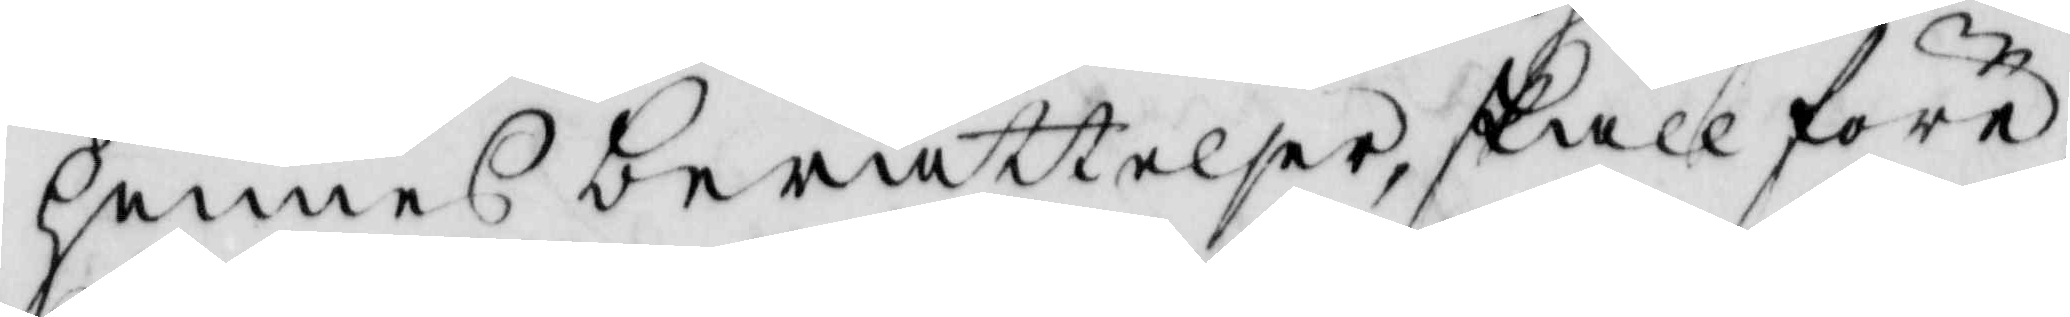hennes berättelser, skall före¬
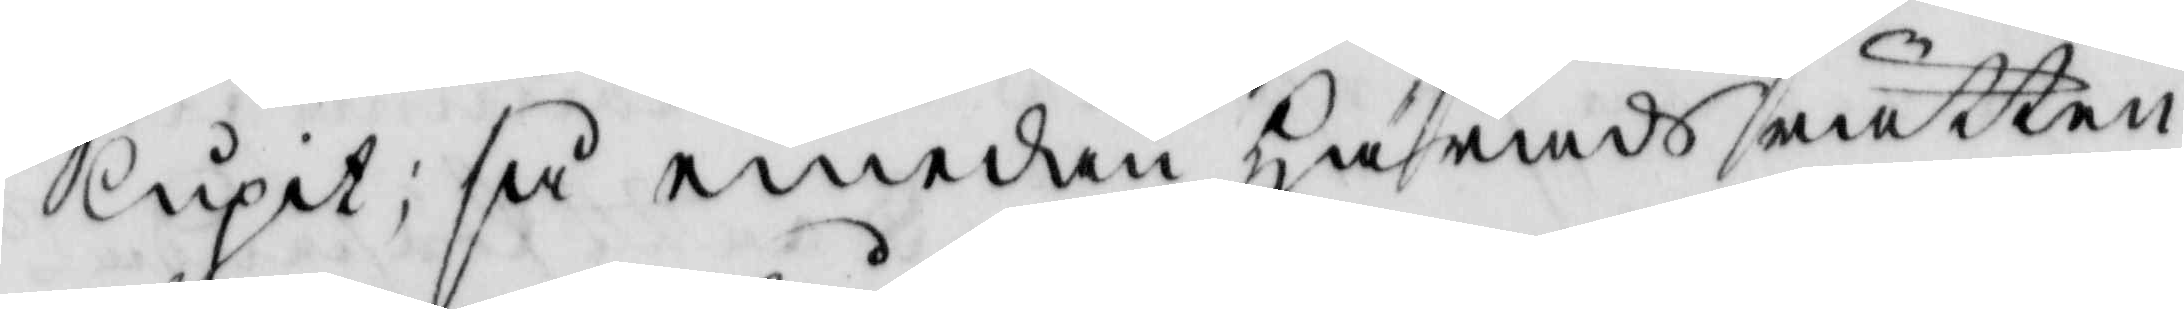lupit; så emedan Härads rätten
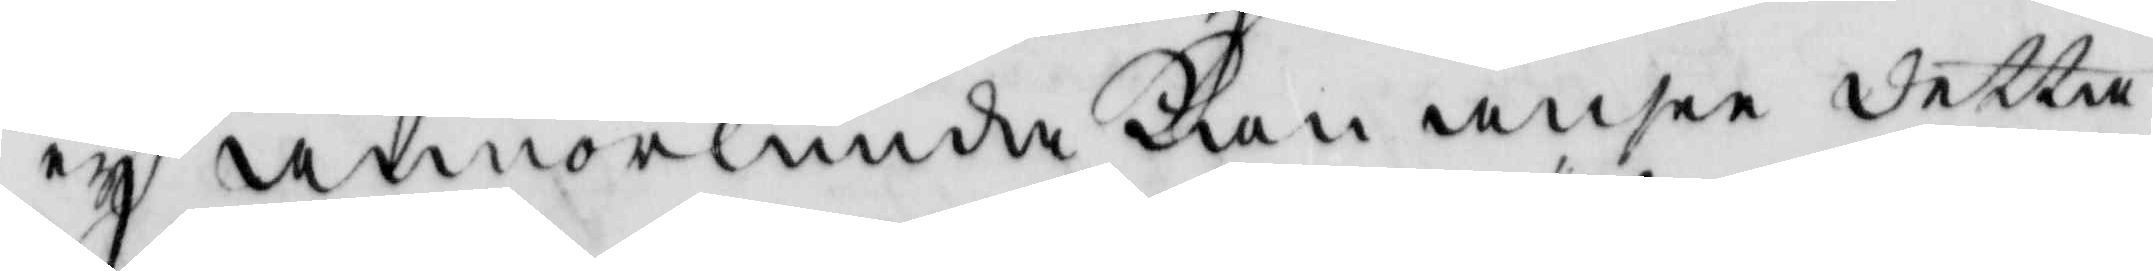ey annorlunda Kan ande detta
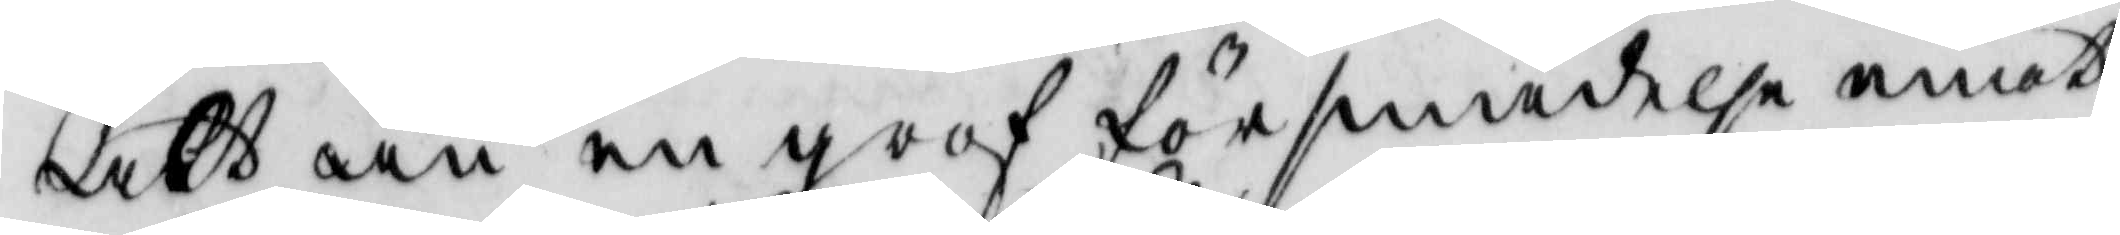alt än en grof försmädelse emot
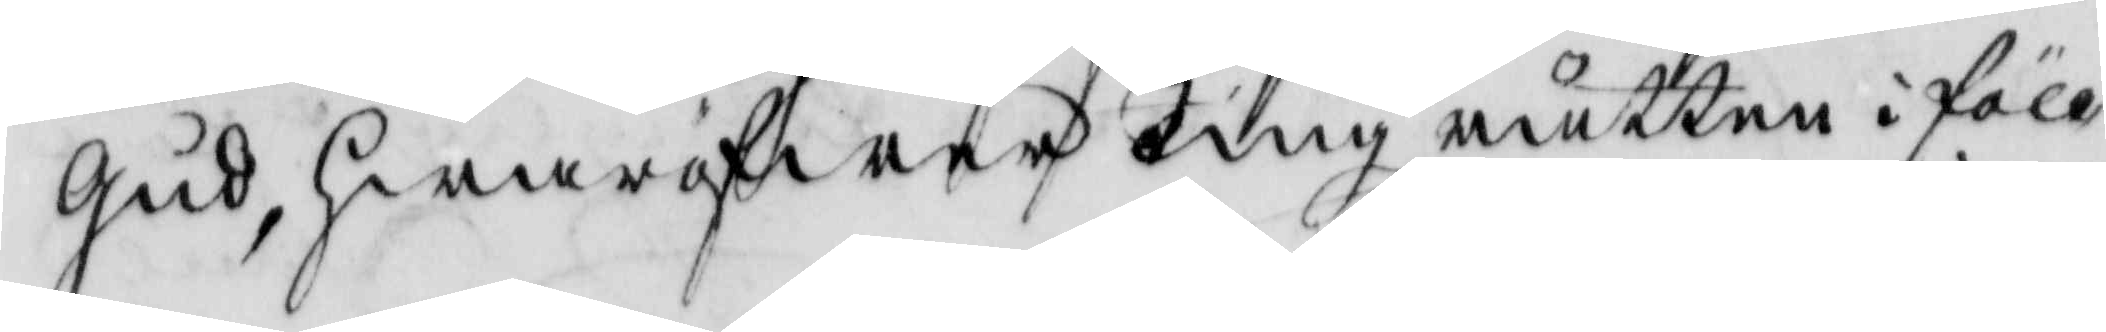Gud, hwaröfwer Tingz rätten i föll¬
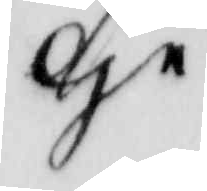ge
